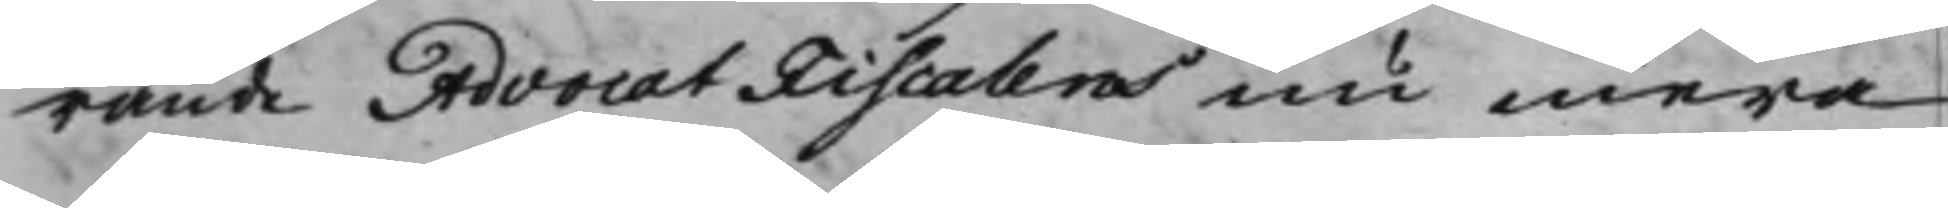rande AdvocatFiscalens nu mera
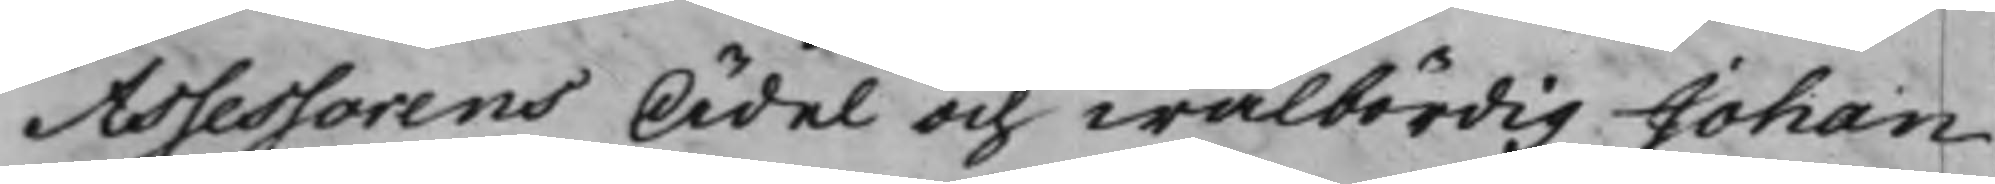Assessorens Ädel och wälbördig Johan
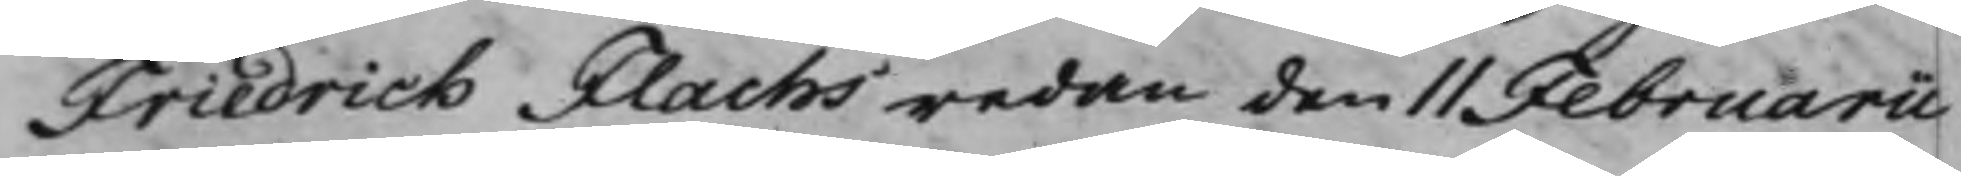Friedrich Flachs redan den 11 Februarii
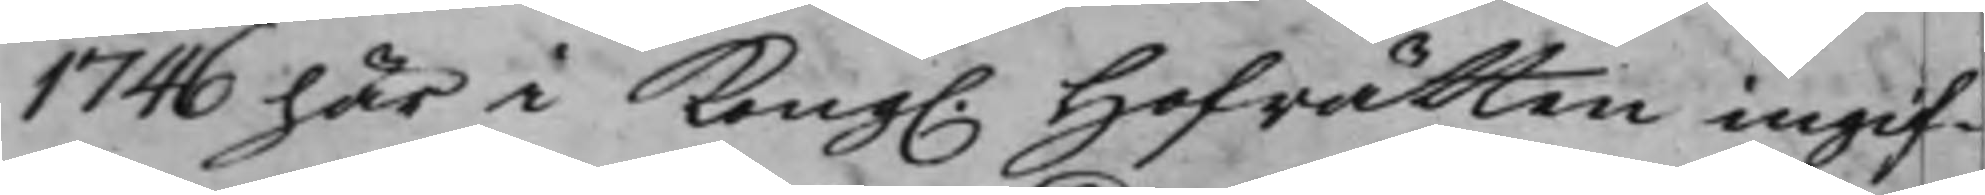1746 här i Kong. Hofrätten ingif¬
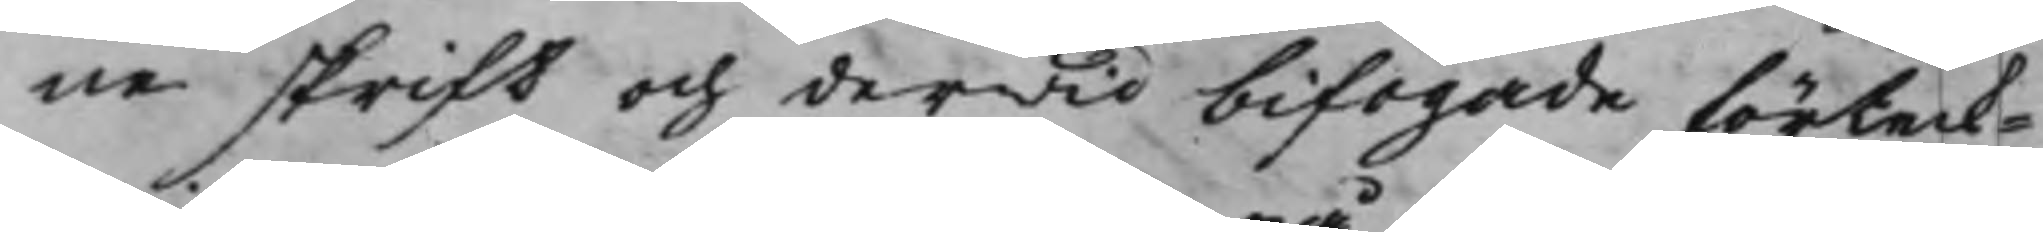ne skrift och derwid bifogade förteck¬
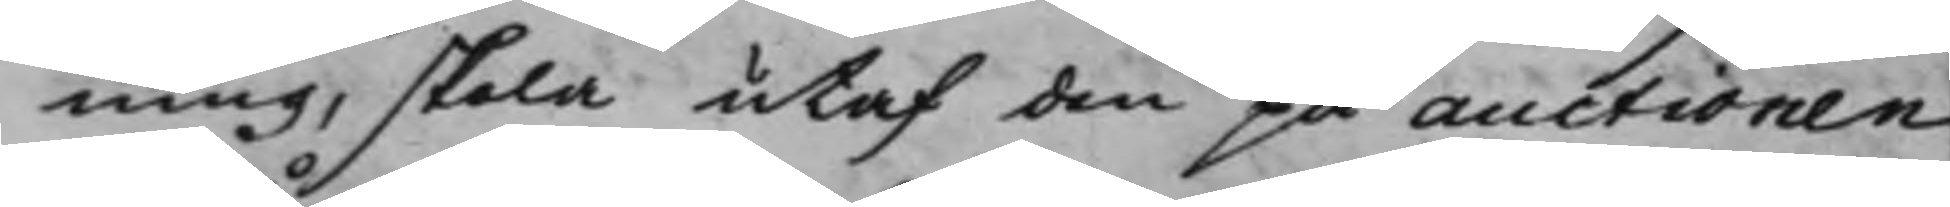ning, skola utaf den på auctionen
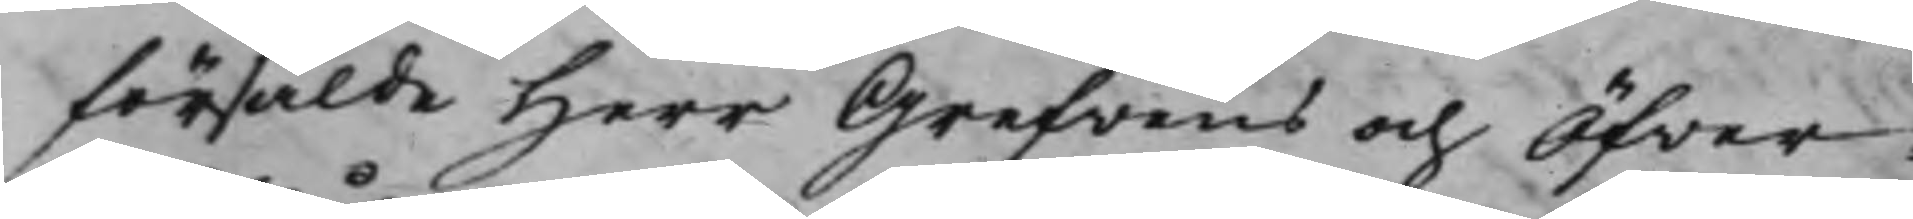försålde Herr Grefvens och Öfver¬
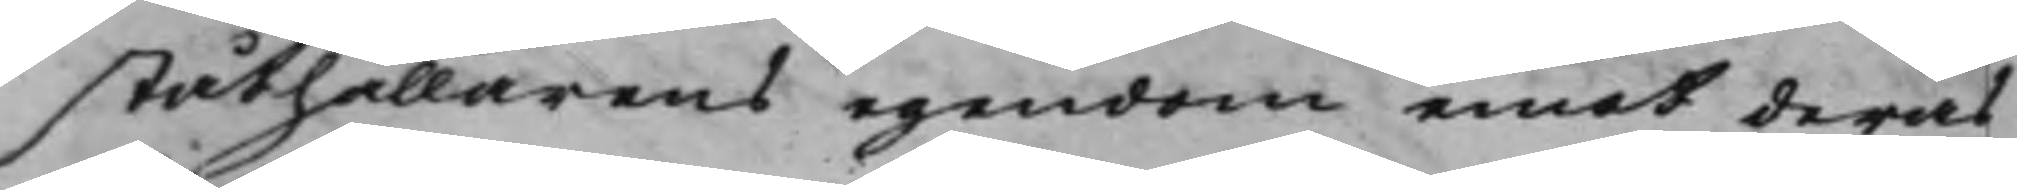ståthållarens egendom emot deras
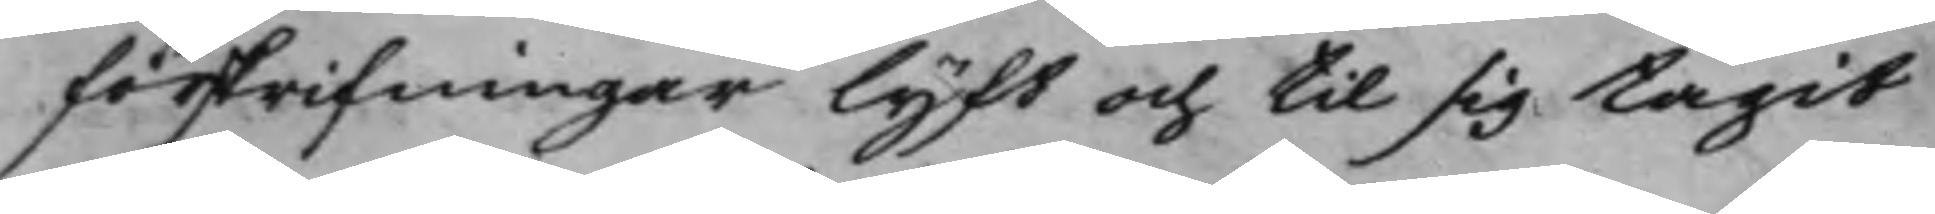förskrifningar lyft och til sig tagit
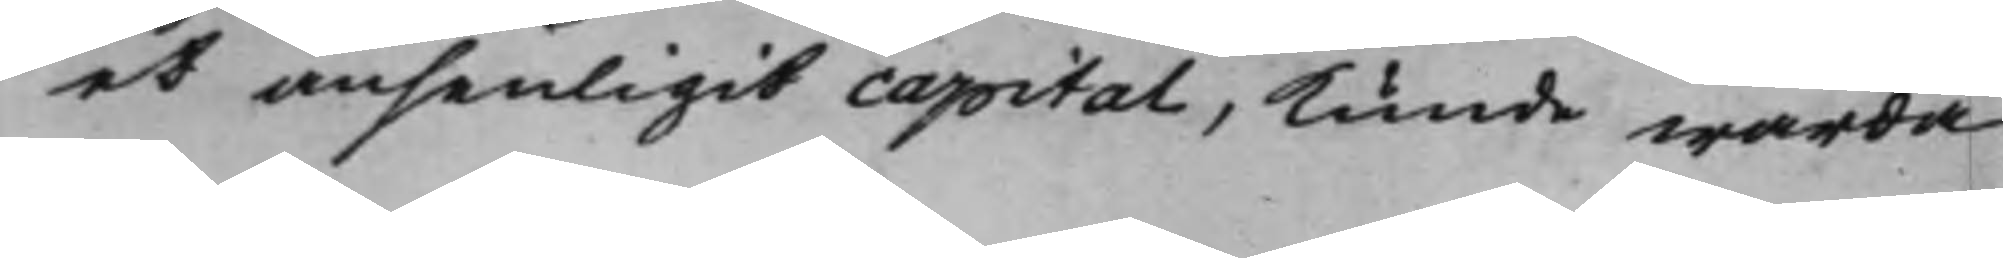et ansenligit capital, kunde warda
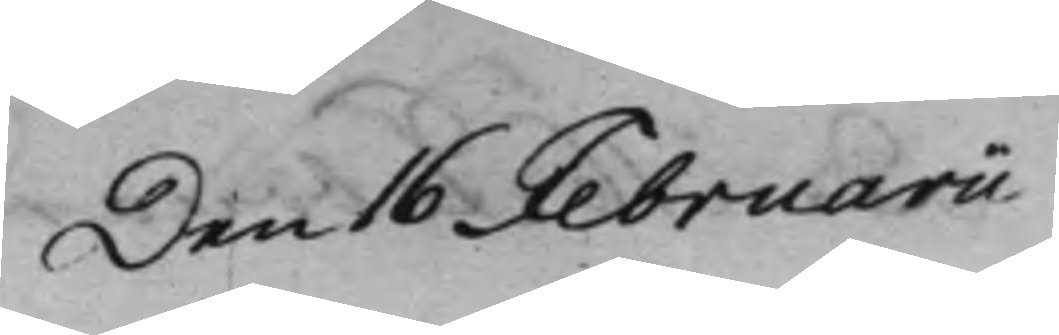Den 16 Februarii
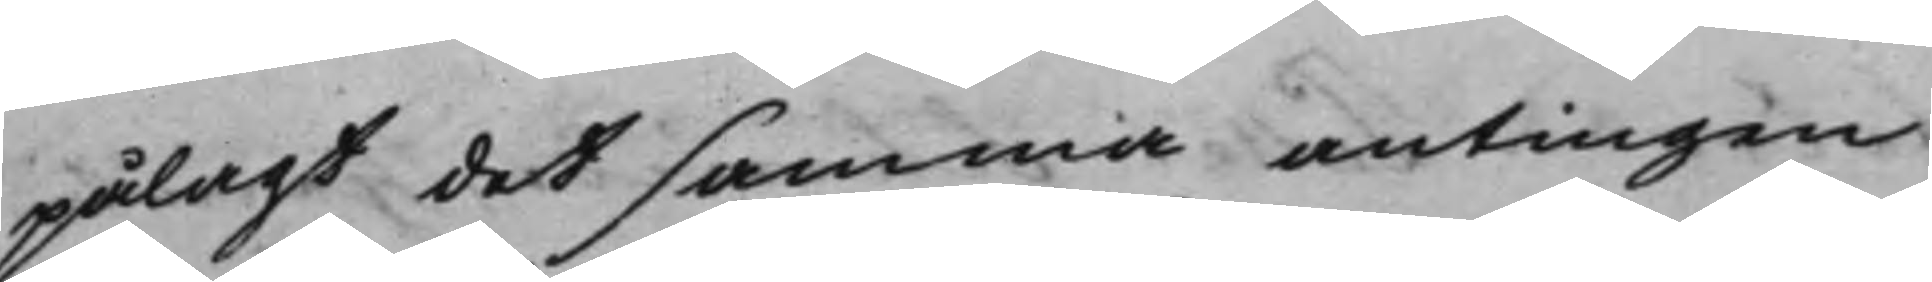pålagt detsamma antingen
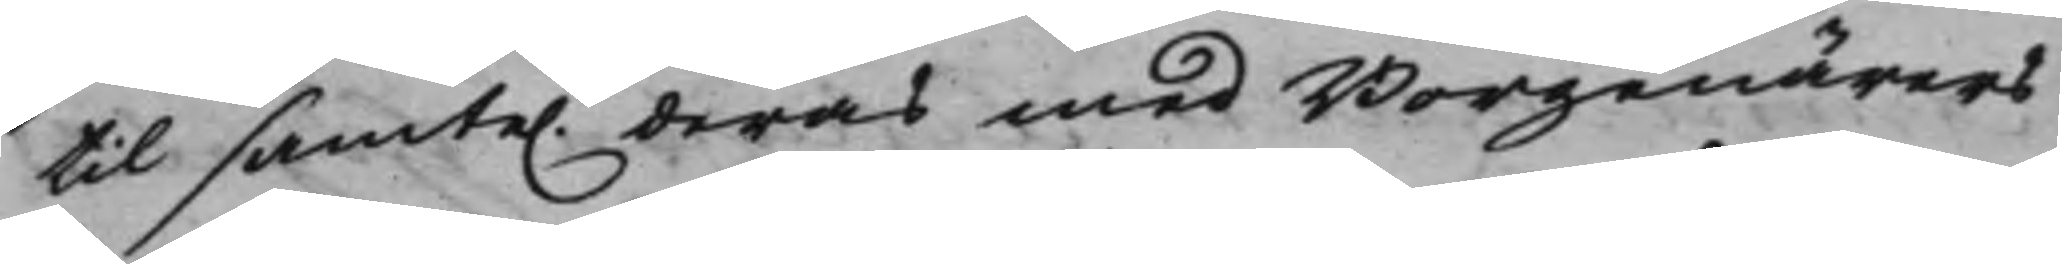til samte. deras medBorgenärers
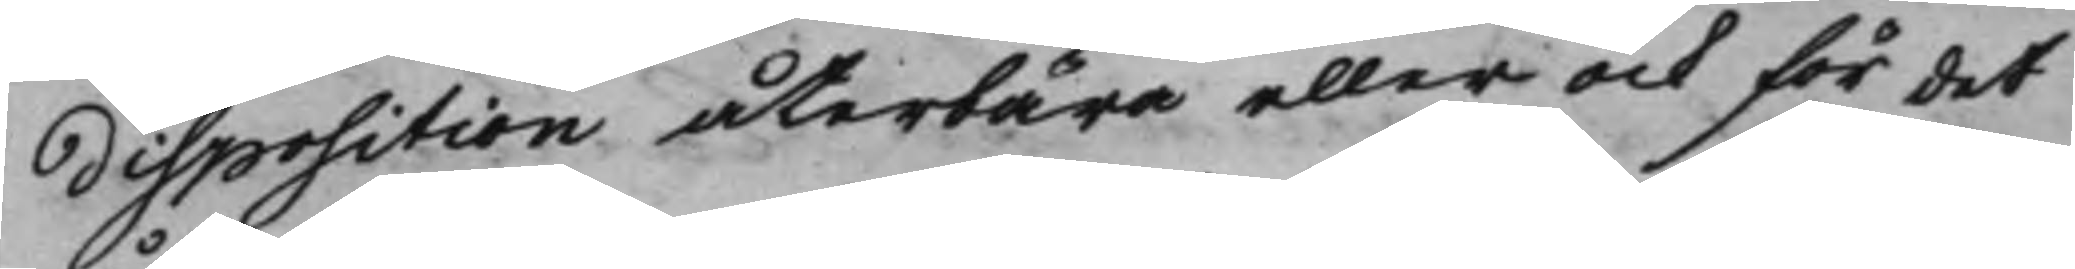disposition återbära eller ock för det
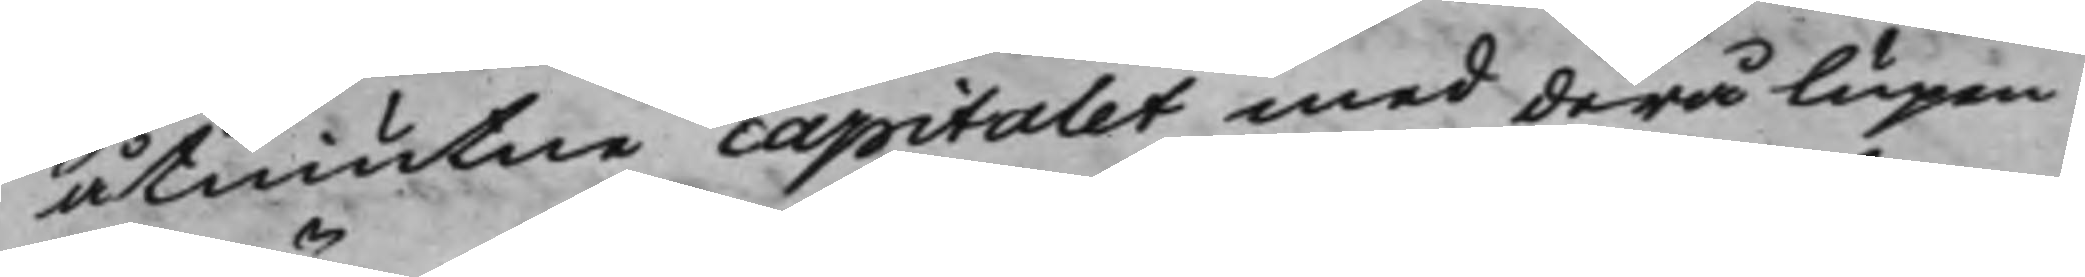åtniutne capitalet med derå lupen
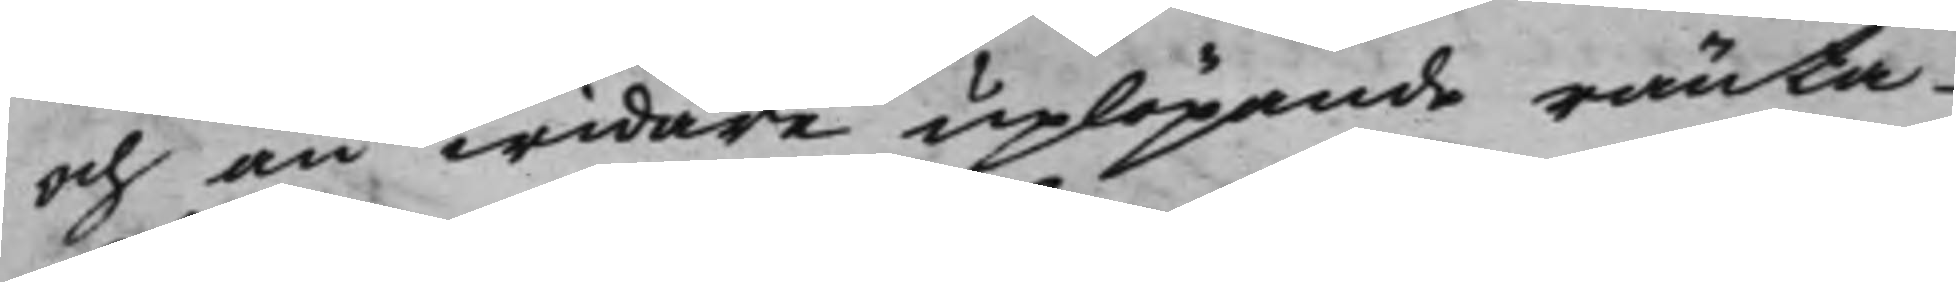och än widare uplöpande ränta
